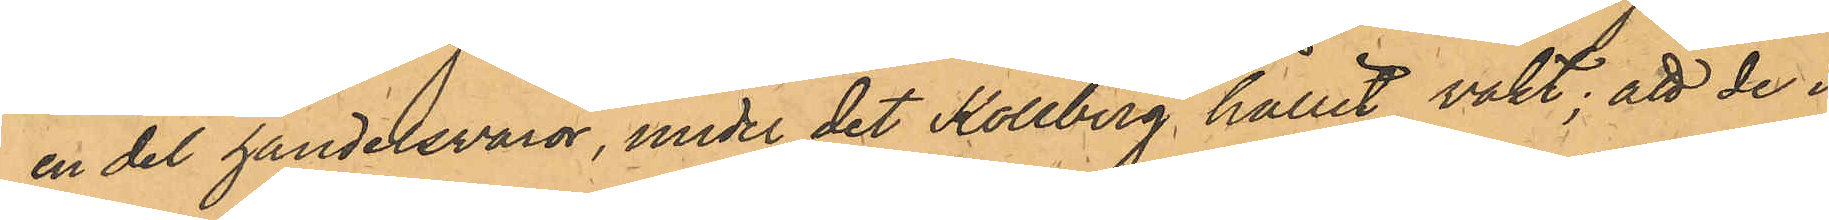en del handelsvaror, under det Kollberg hållit vakt; att de i
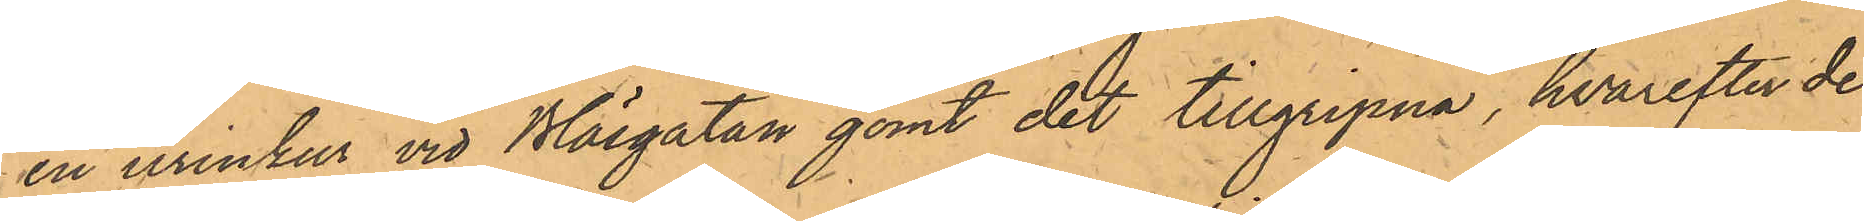en urinkur vid Bläsgatan gömt det tillgripna, hvarefter de
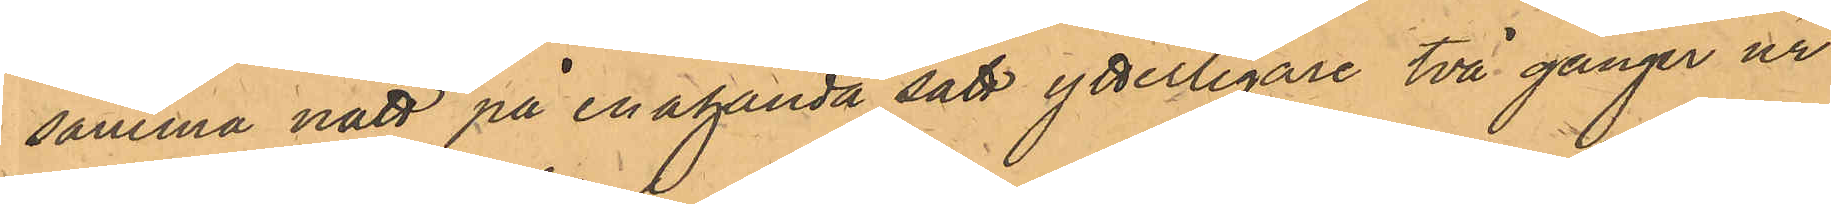samma natt på enahanda sätt ytterligare två gånger ur
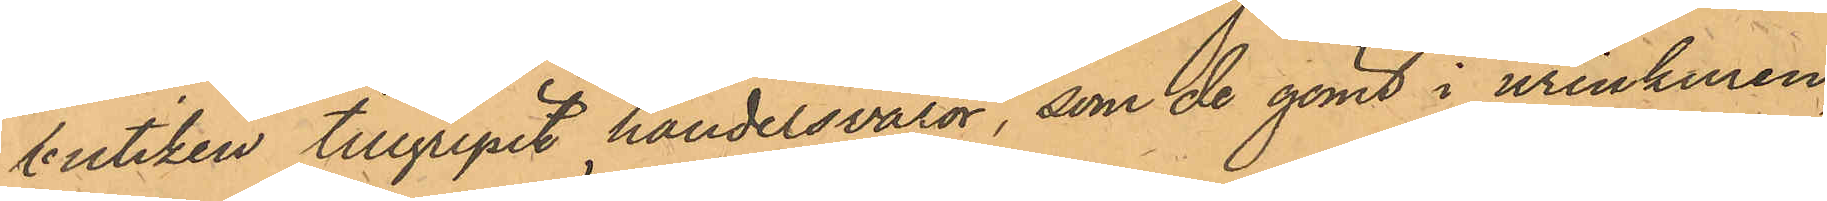butiken tillgripit handelsvaror, som de gömt i urinkuren;
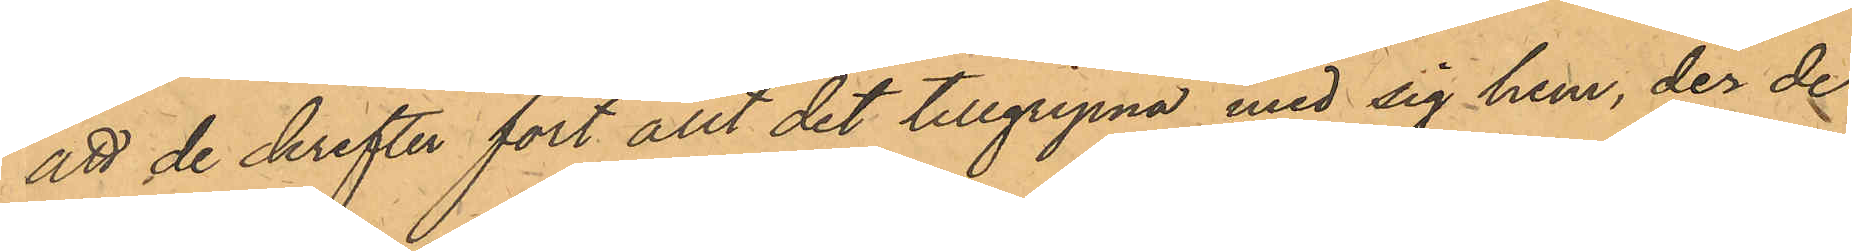att de derefter fört allt det tillgripne med sig hem, der de
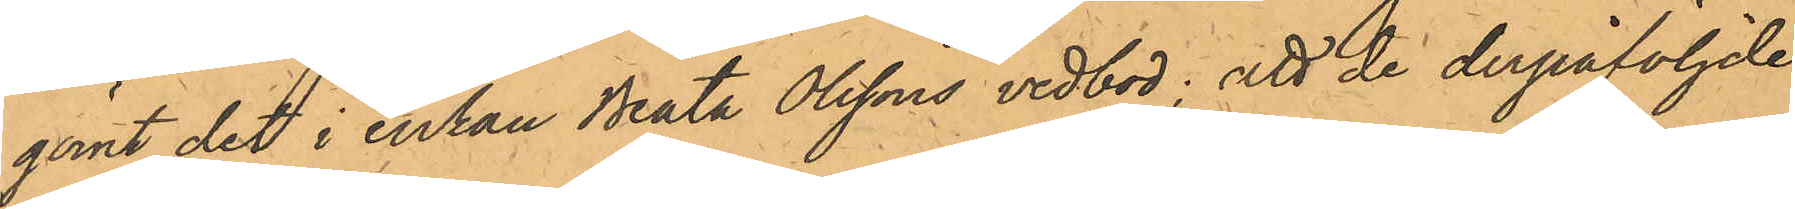gömt det i enkan Beata Olssons vedbod; att de derpåföljde
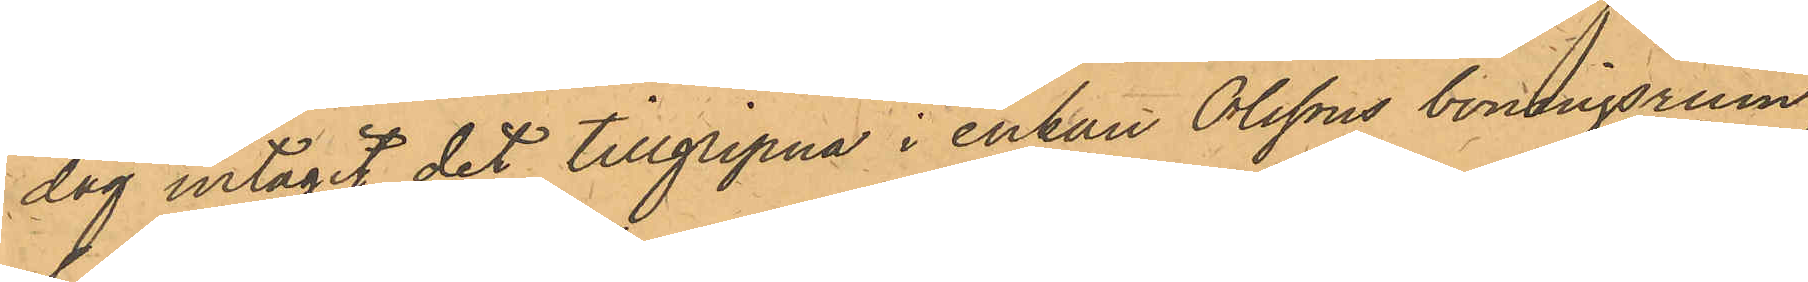dag intagit det tillgripna i enkan Olssons boningsrum,
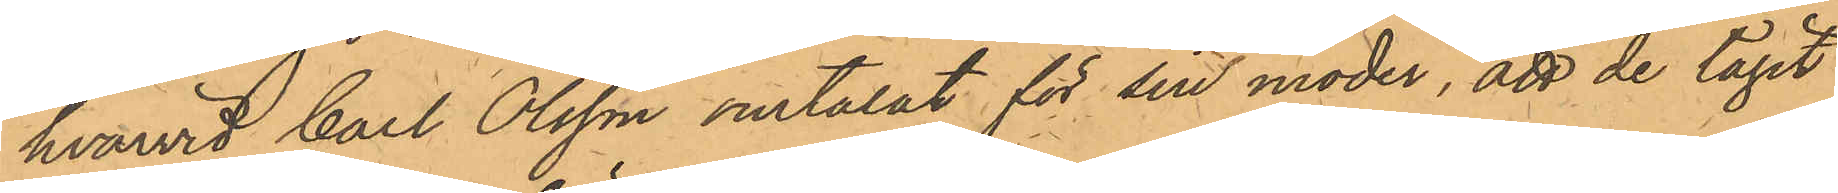hvarvid Carl Olsson omtalat för sin moder, att de tagit
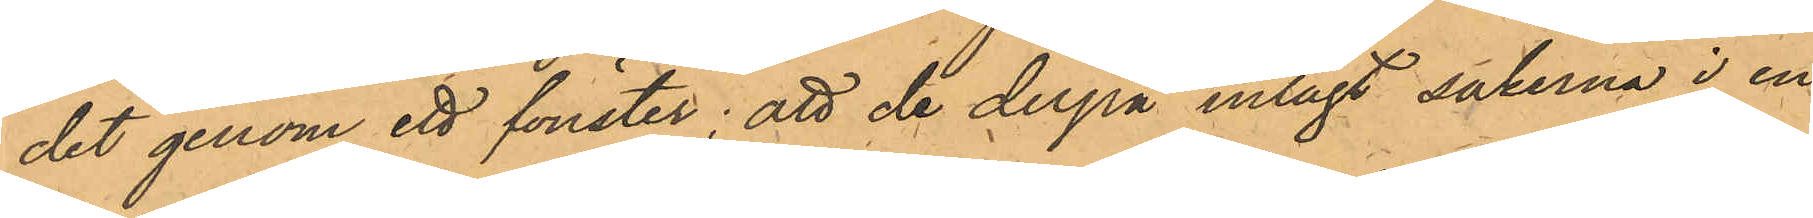det genom ett fönster; att de derpå inlagt sakerna i en
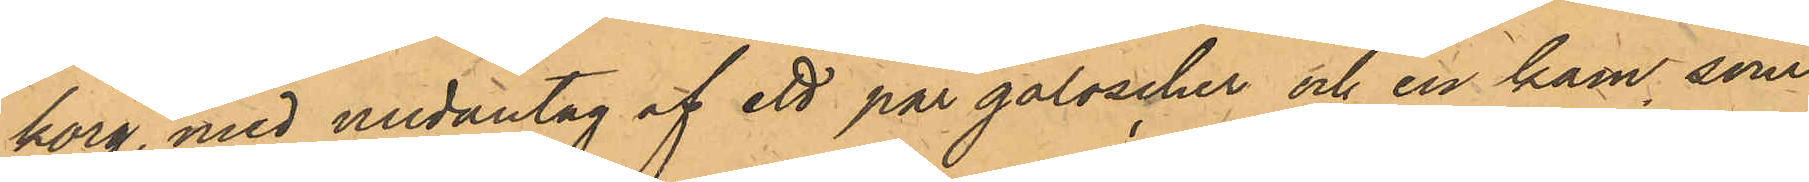korg, med undantag af ett par galoscher och en kam som
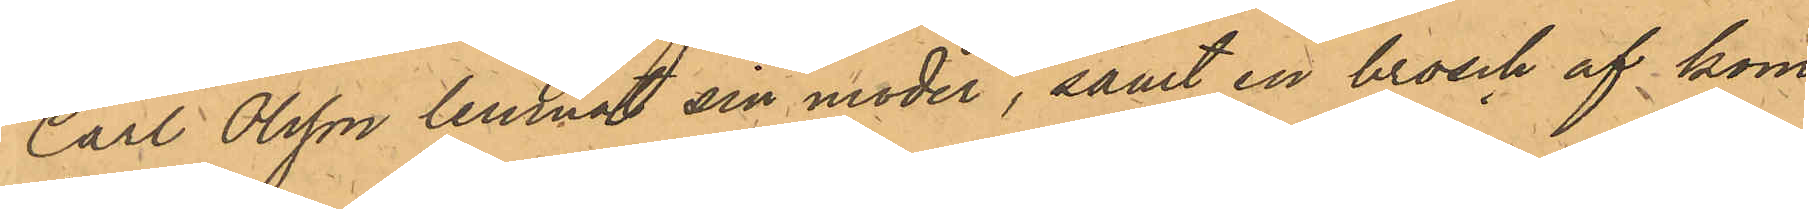Carl Olsson lemnat sin moder, samt en brosch af kom¬
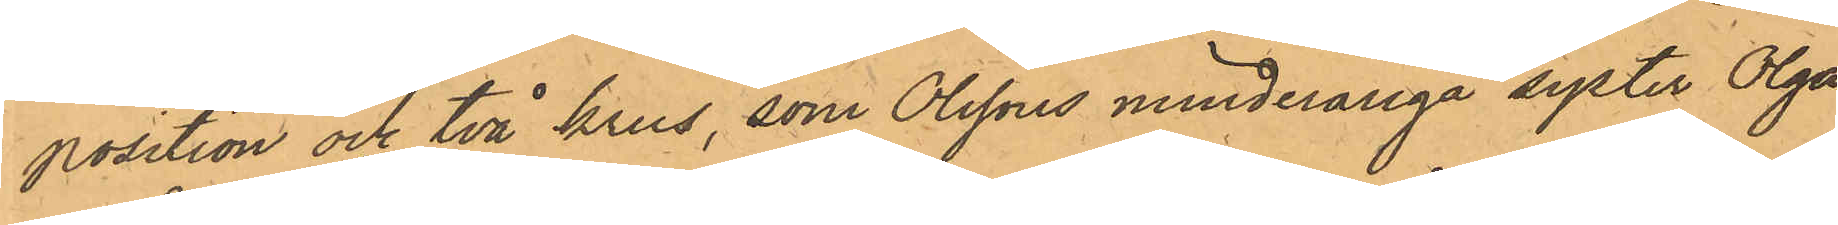position och två krus, som Olssons minderåriga syster Olga
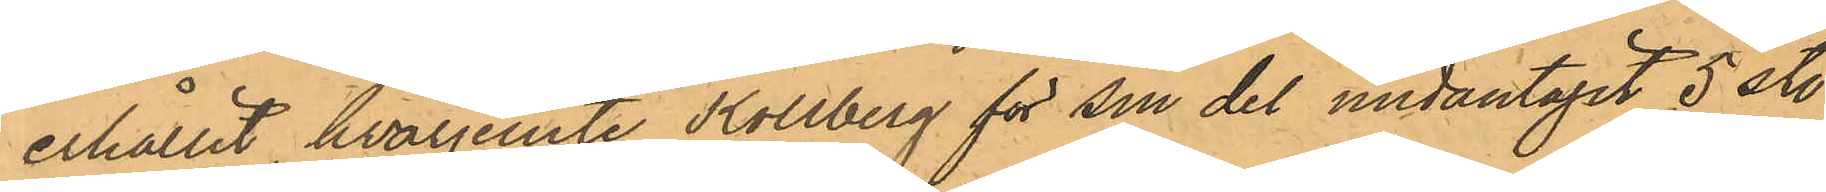erhållit, hvarjemte Kollberg för sin del undantagit 5 st.
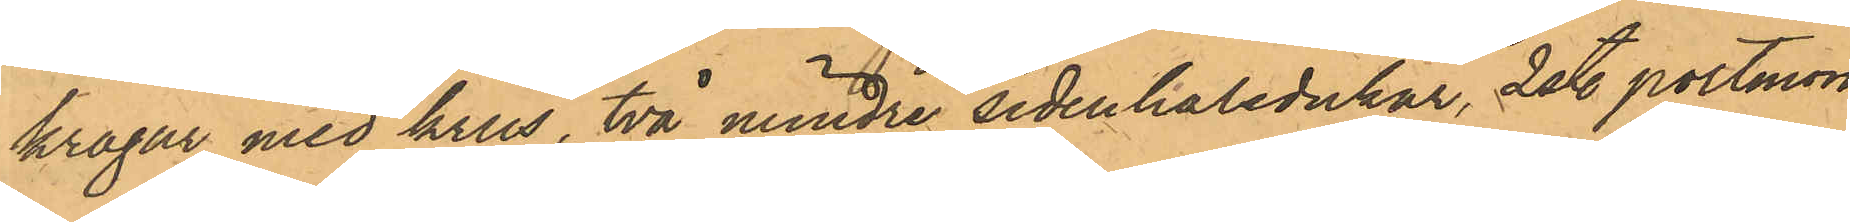kragar med krus, två mindre sidenhalsdukar, 2 st. portmon¬
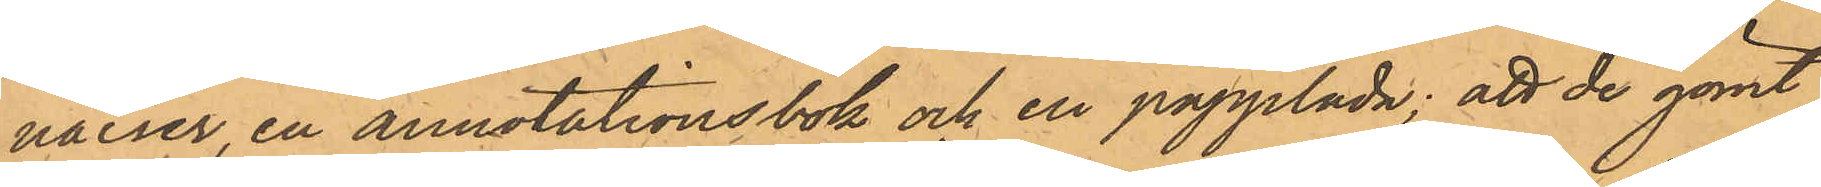naier, en annotationsbok och en papplåda; att de gömt
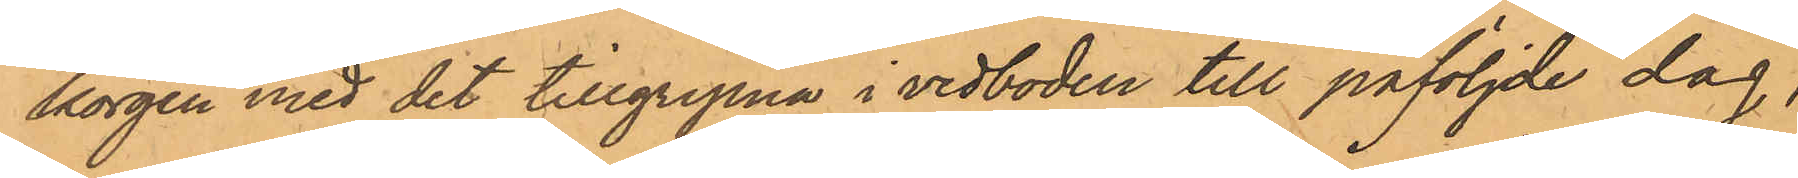korgen med det tillgripna i vedboden till påföljde dag,
